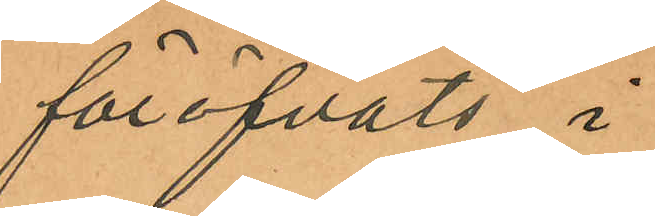föröfvats i
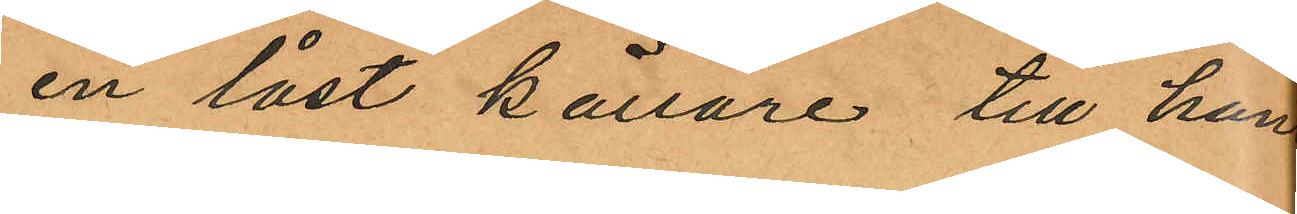en låst källare till han
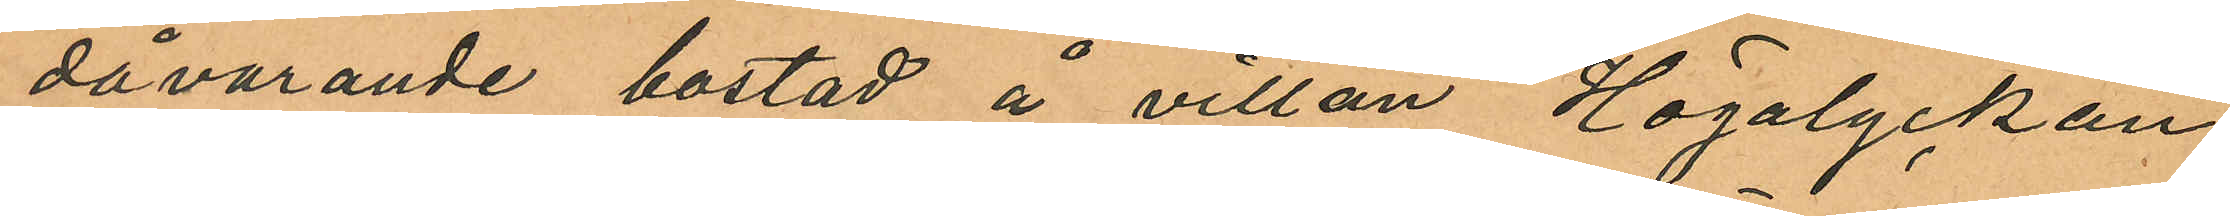dåvarande bostad å villan Högalyckan
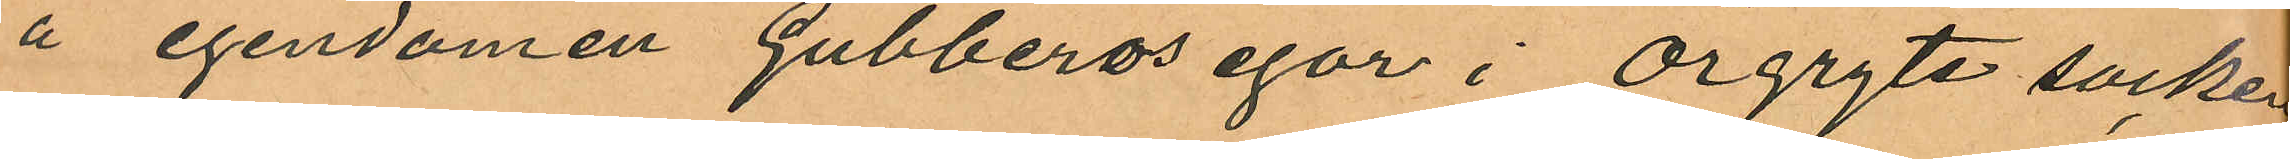å egendomen Gubberos egor i Örgryte socken
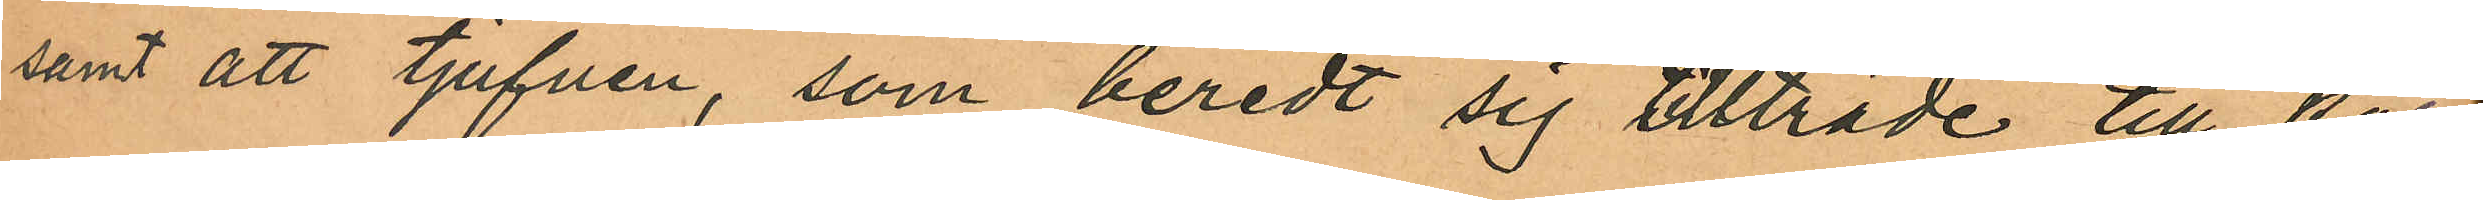samt att tjufven, som beredt sig tllträde till källa
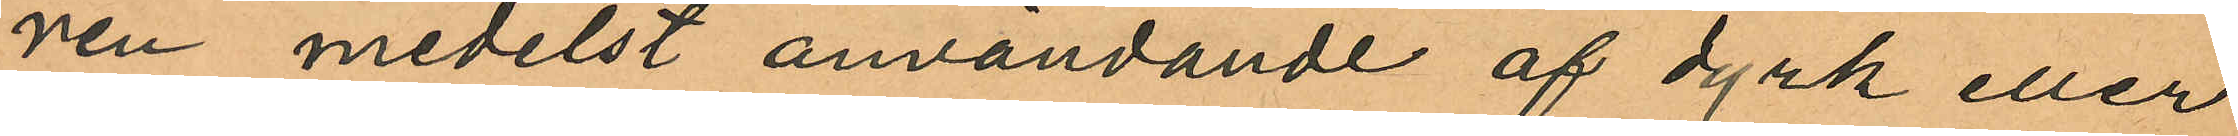ren medelst användande af dyrk eller
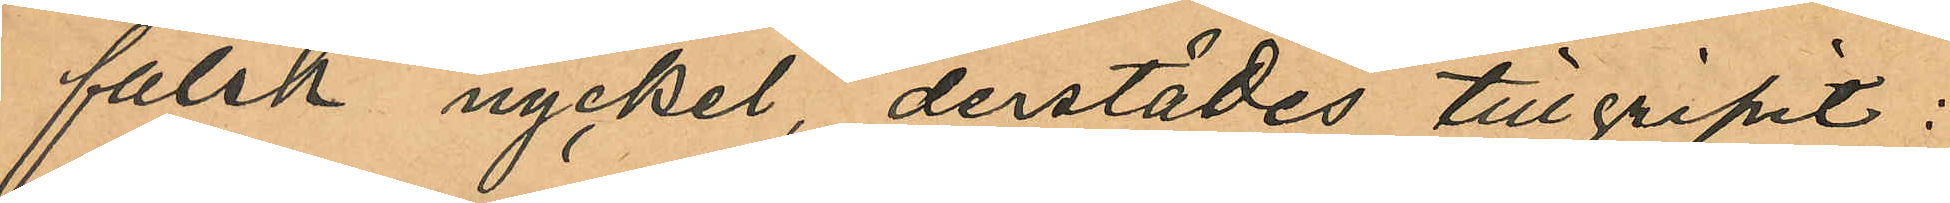falsk nyckel, derstädes tillgripit:
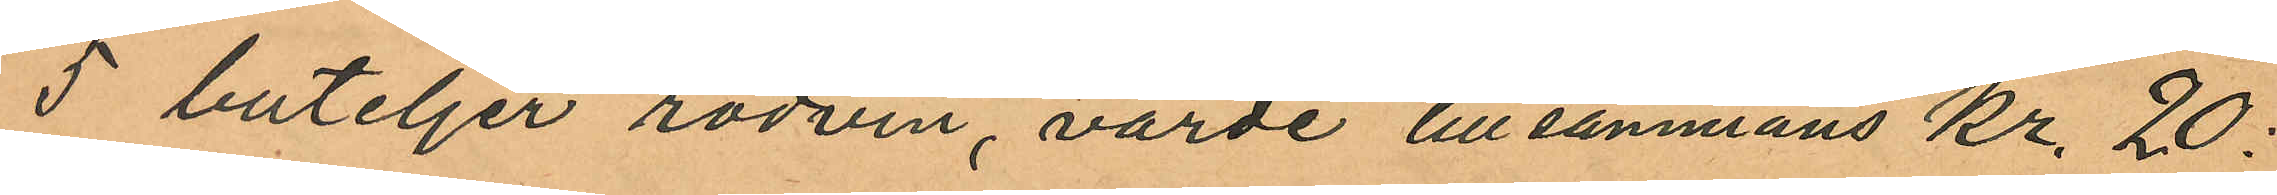5 buteljer rödvin, värde tillsammans Kr. 20:
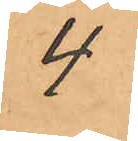4
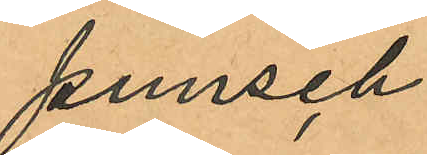punsch
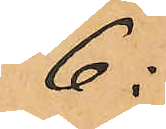6:
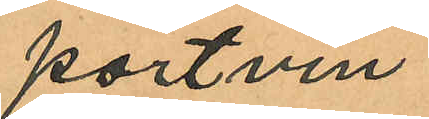portvin
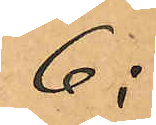6:
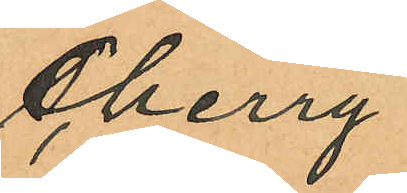Cherry
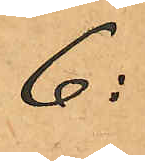6:
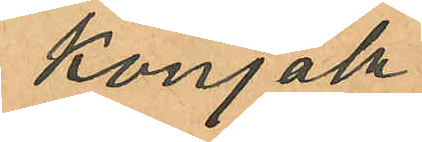Konjak
